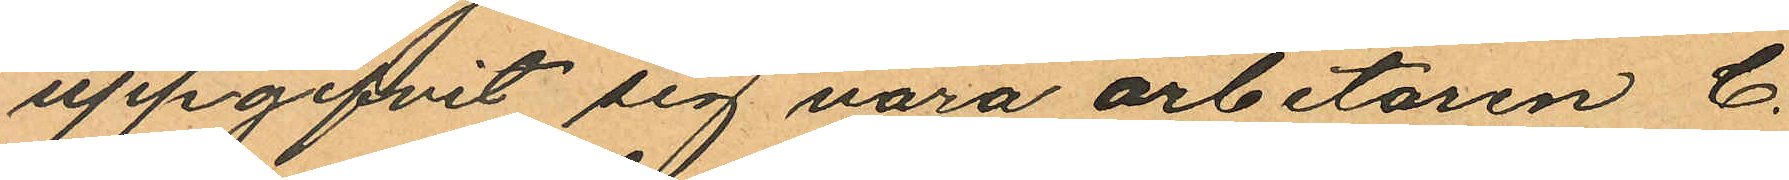uppgifvit sig vara arbetaren C.
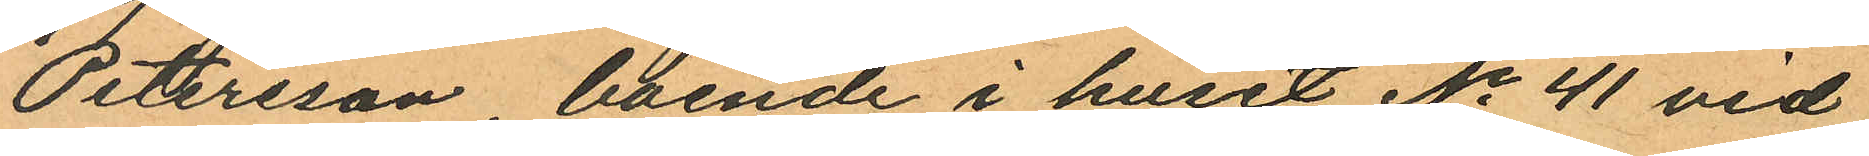Petersson boende i huset No 41 vid
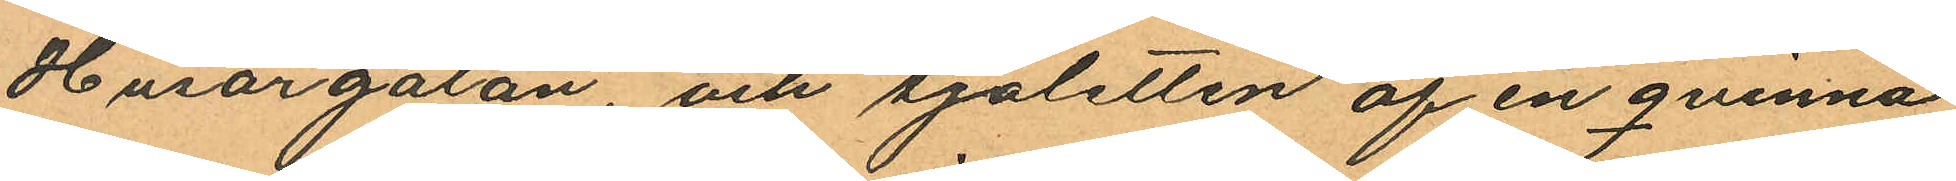Husargatan, och sjaletten af en qvinna
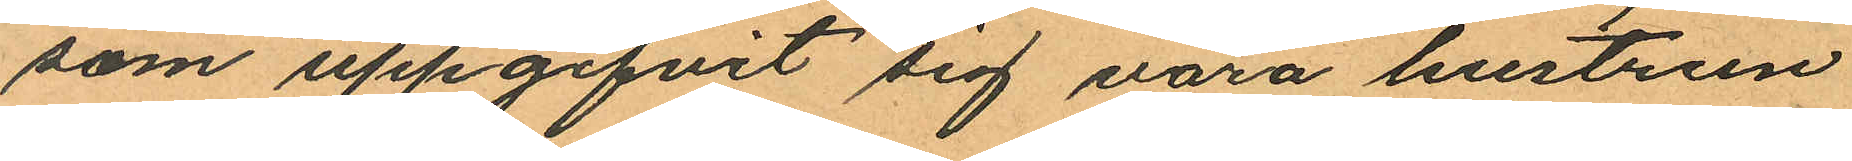som uppgifvit sig vara hustrun
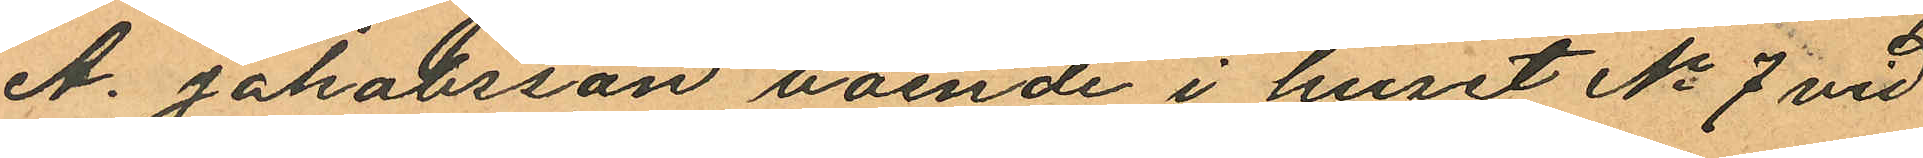A. Jakobsson boende i huset No 7 vid
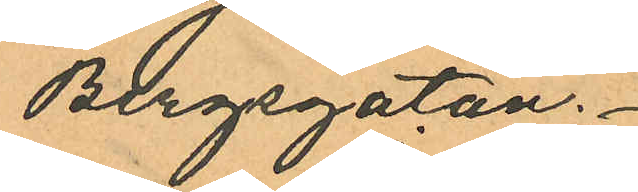Bergsgatan.
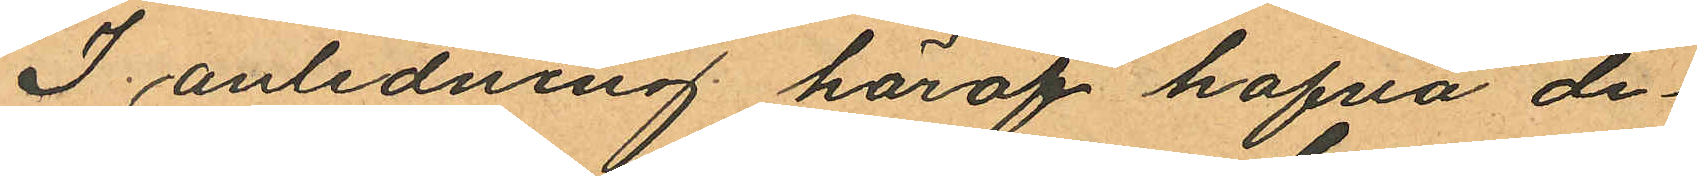I anledning häraf hafva de¬
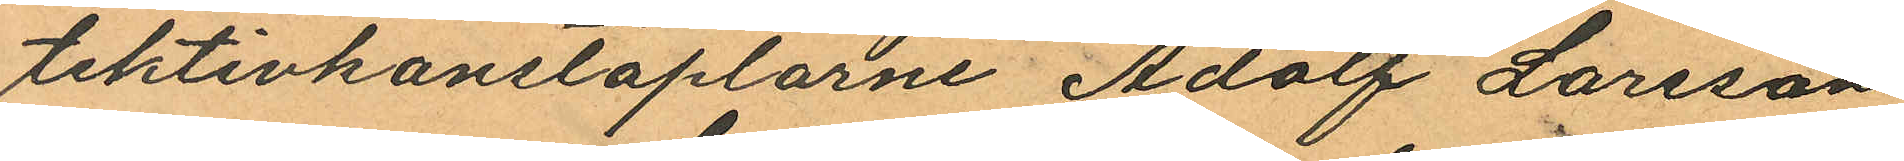tektivkonstaplarne Adolf Larsson
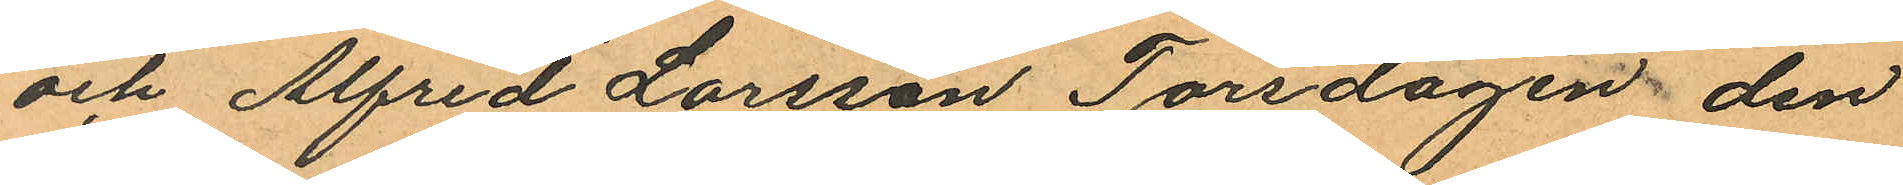och Alfred Larsson Torsdagen den
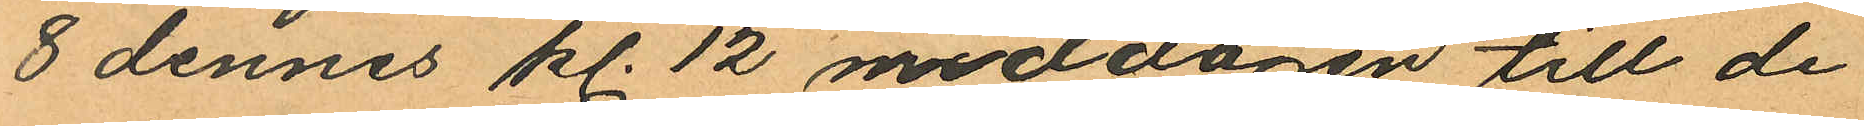8 dennes kl. 12 middagen till de¬
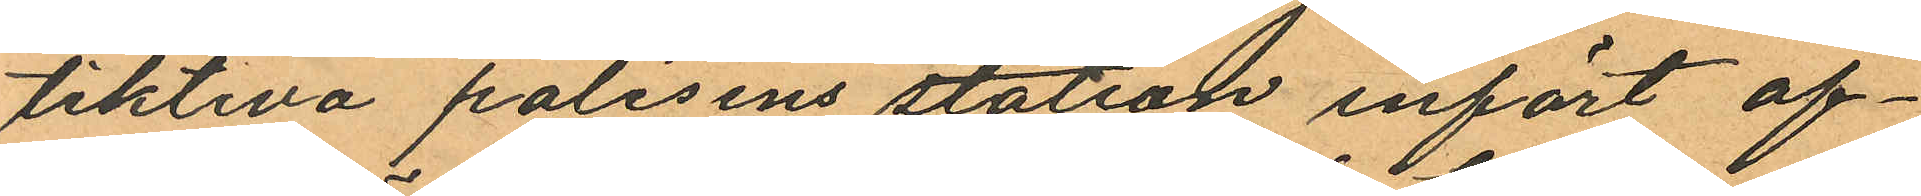tiktiva polisens station infört of¬
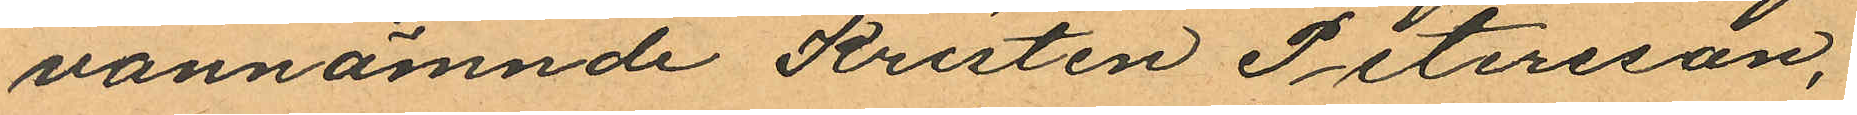vannämnde Kristen Petersson,
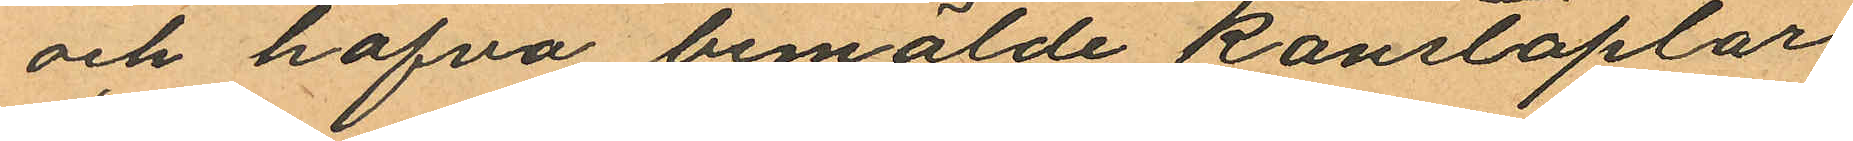och hafva bemälde konstaplar
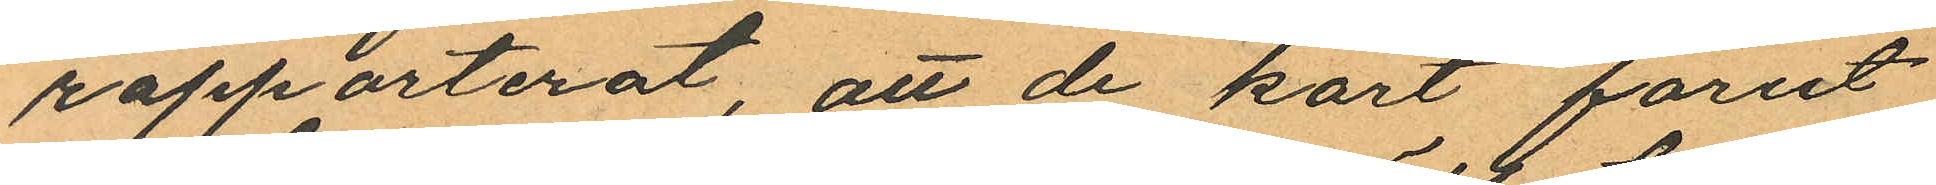rapporterat, att de kort förut
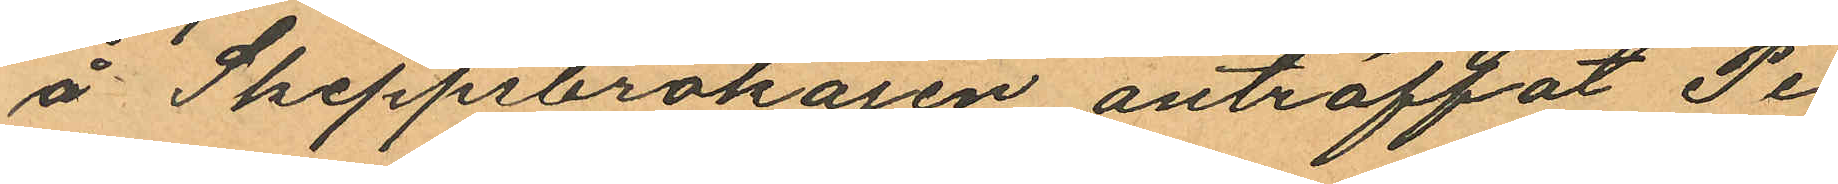å Skeppsbrokajen anträffat Pe¬
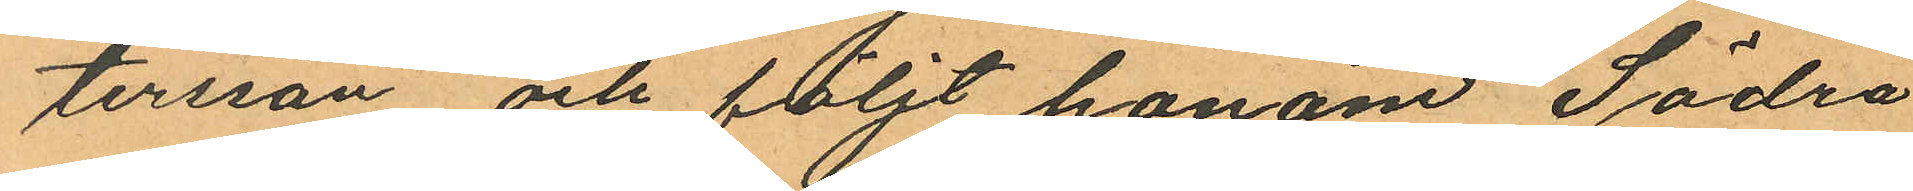tersson och följt honom Södra
